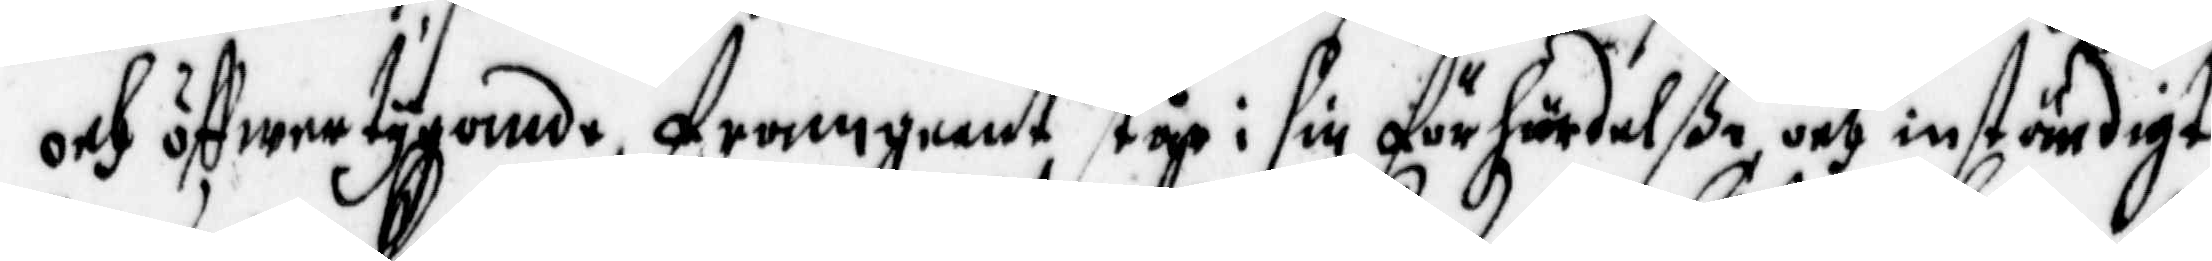och öffwertygande, framgeent står i sin förhärdelße, och inständigt
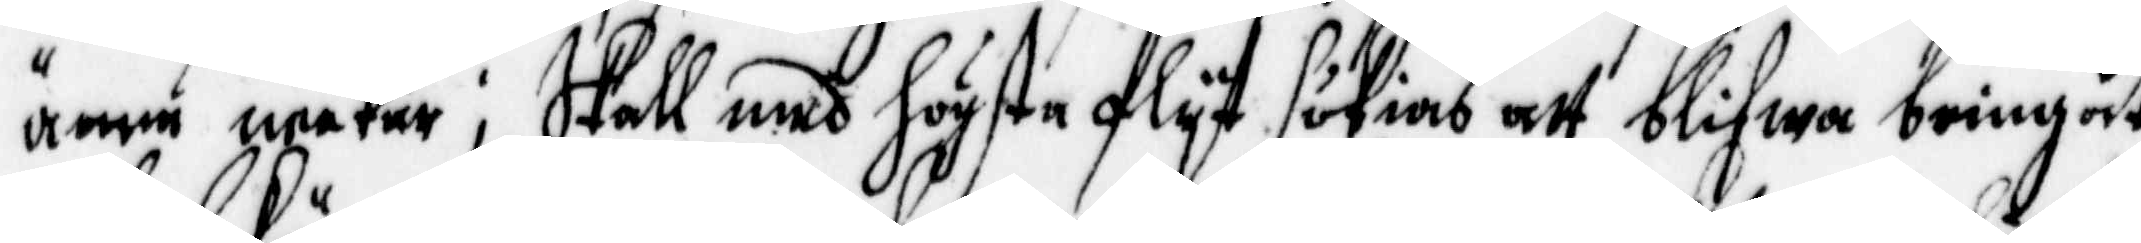ännu neekar; skall med högsta flyt sökias att blifwa bringat
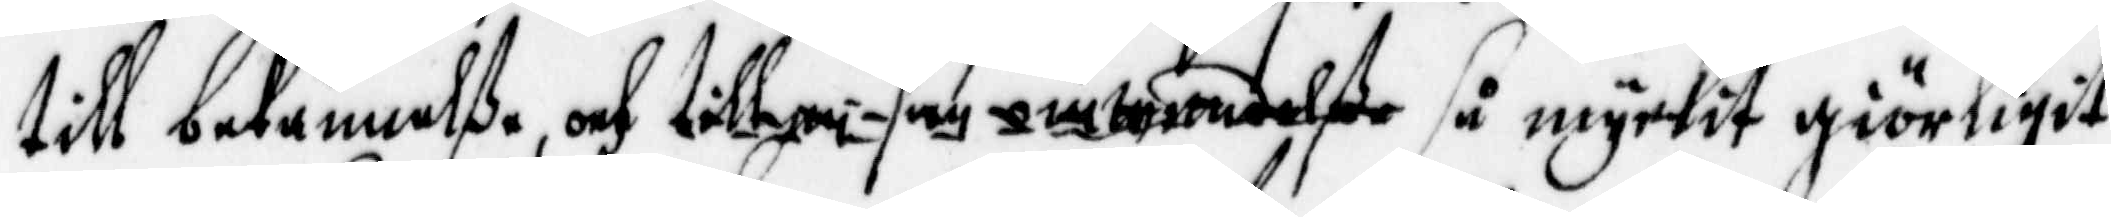till bekännelße, och ................... så myckit giörligit
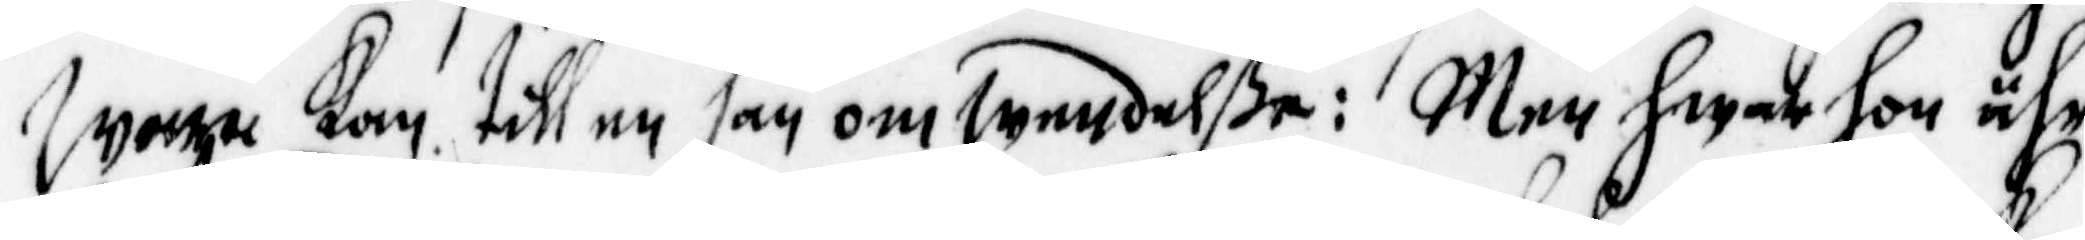wara kan till en san omwendelße: Men hwar hon ähr
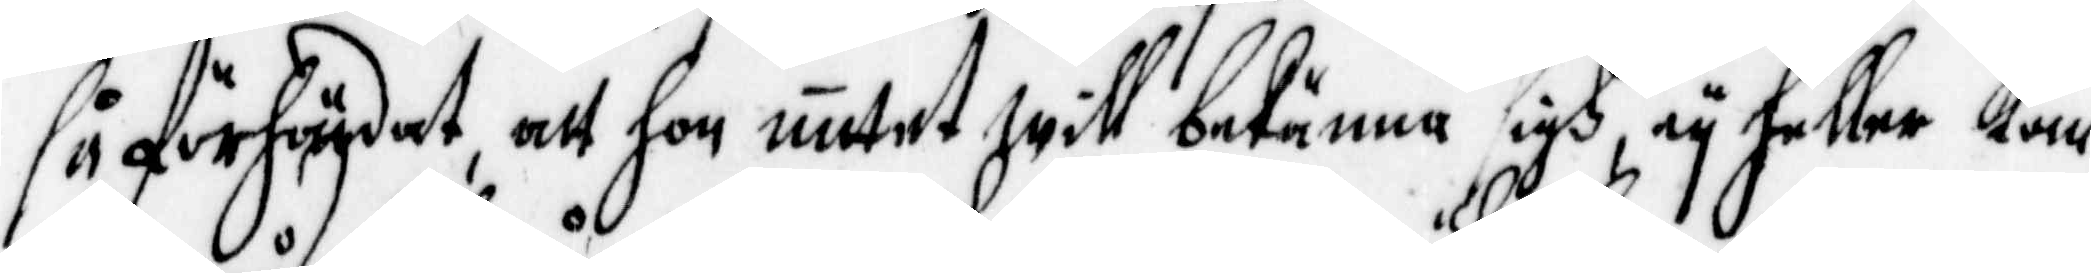så förhärdat, att hon intet will bekänna sigh, ey heller kan
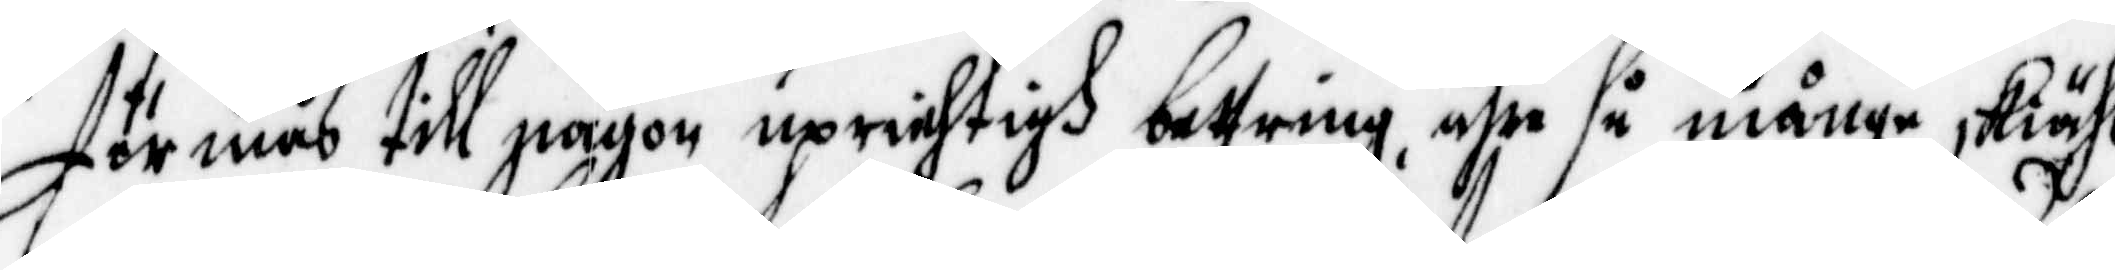förmås till någon uprichtigh bettring, ähre så månge skiähl
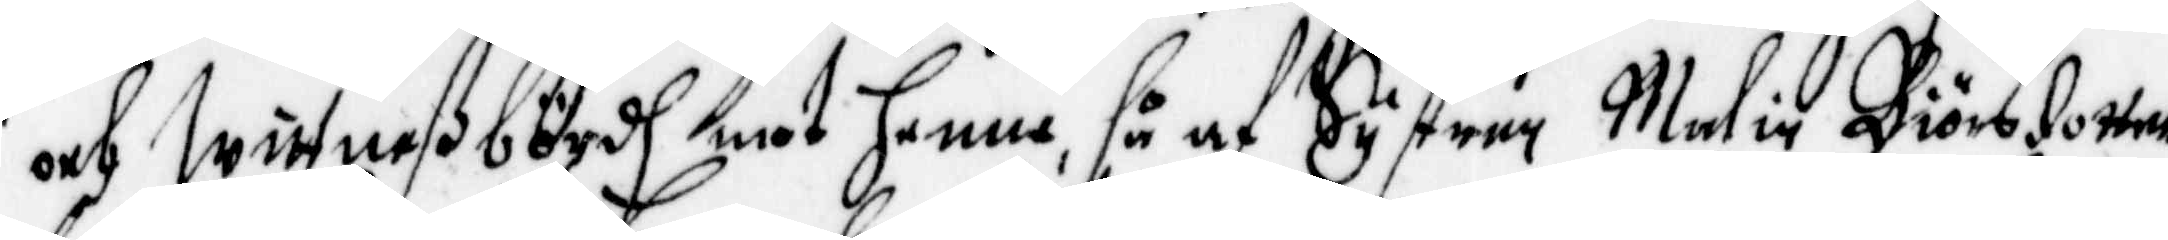och wittneßbördh mot henne, så af Systen Malin Biörsdotter,
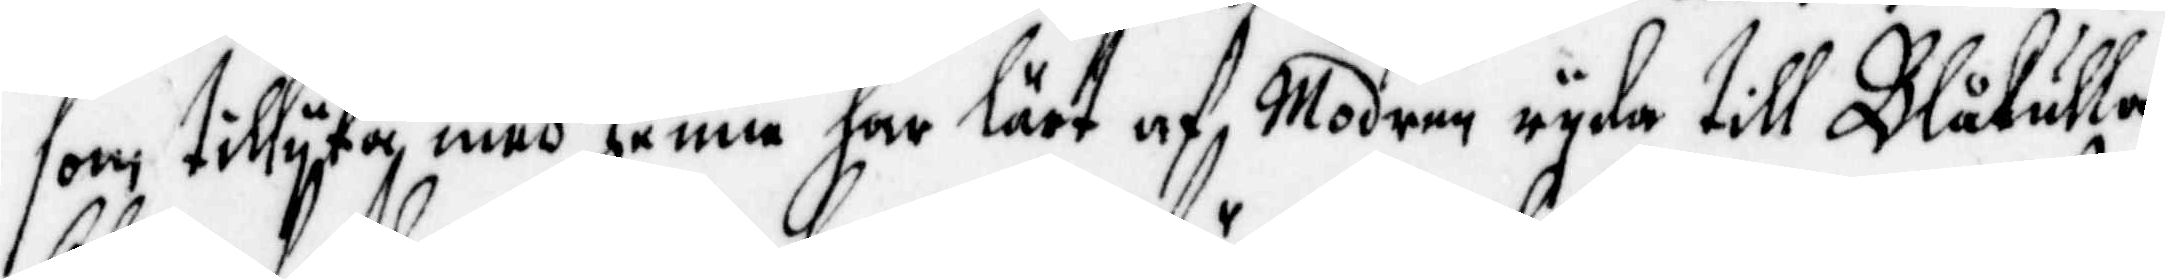som tillyka med henne har lärt af modern ryda till Blåkulla,
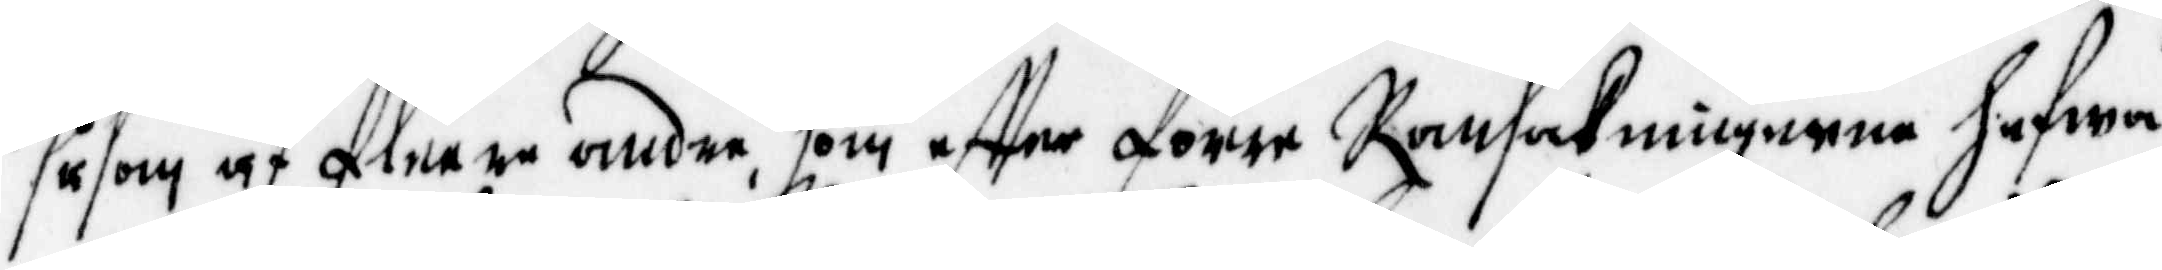såsom af fleere andre, som effter förre Ransakningerne hafwa
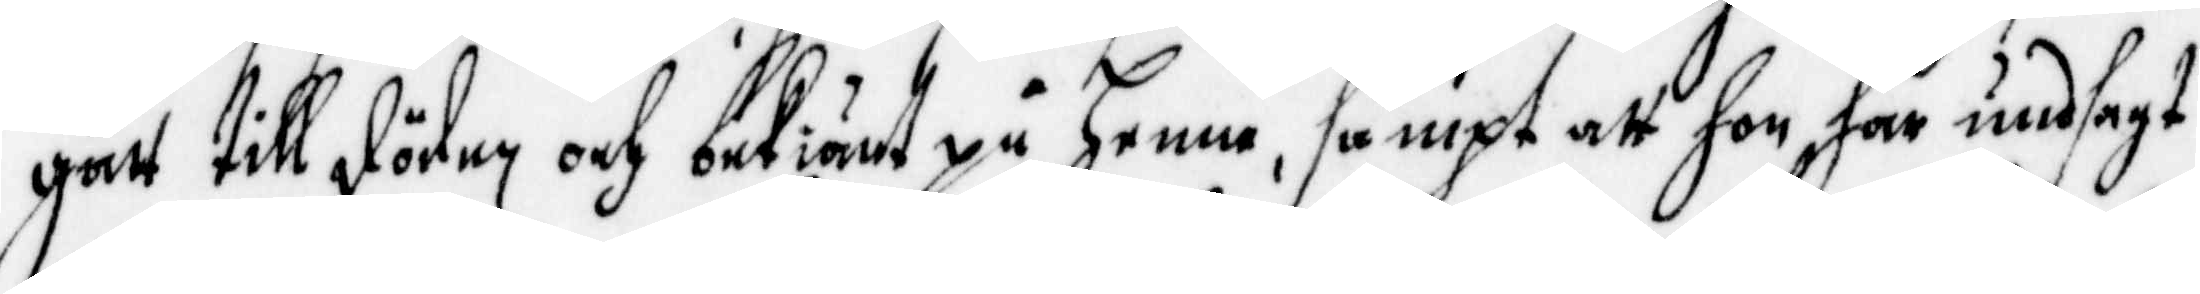gått till döden, och bekiänt på henne, sampt att hon har undsagt
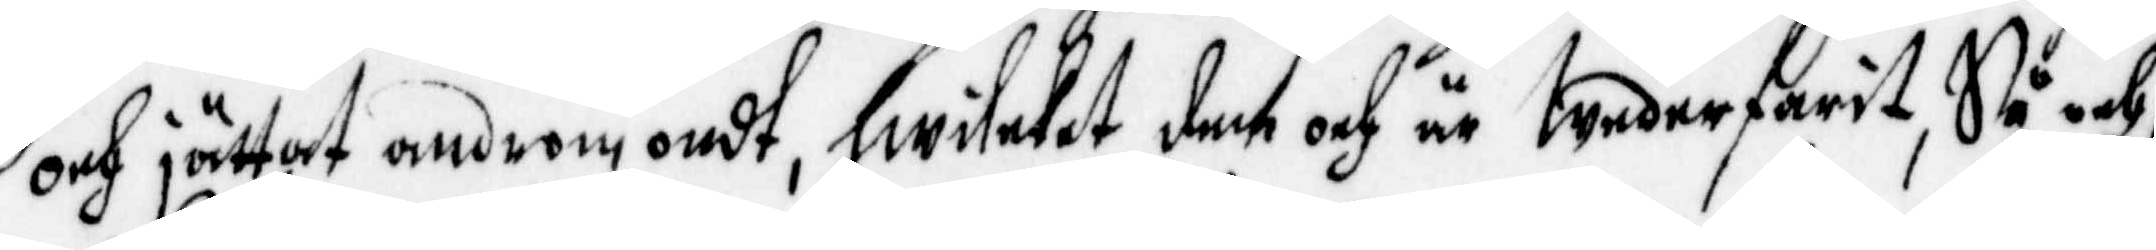och jättat androm ondt, hwileket dem och är wederfarit, så och,
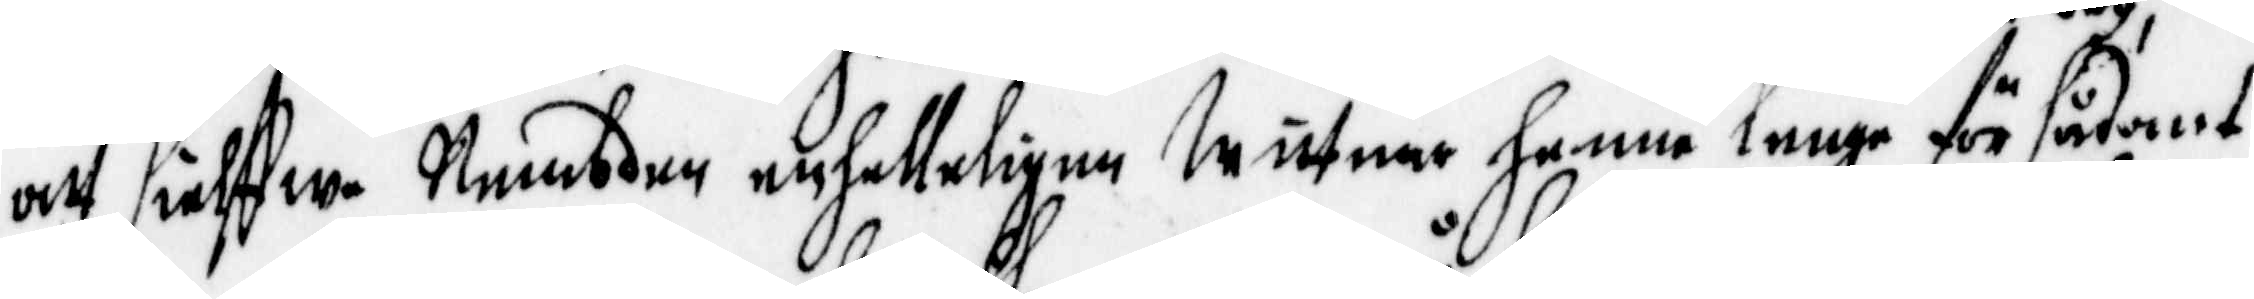att sielffwe Nembden enfalleligen wittnar henne lenge för sådant
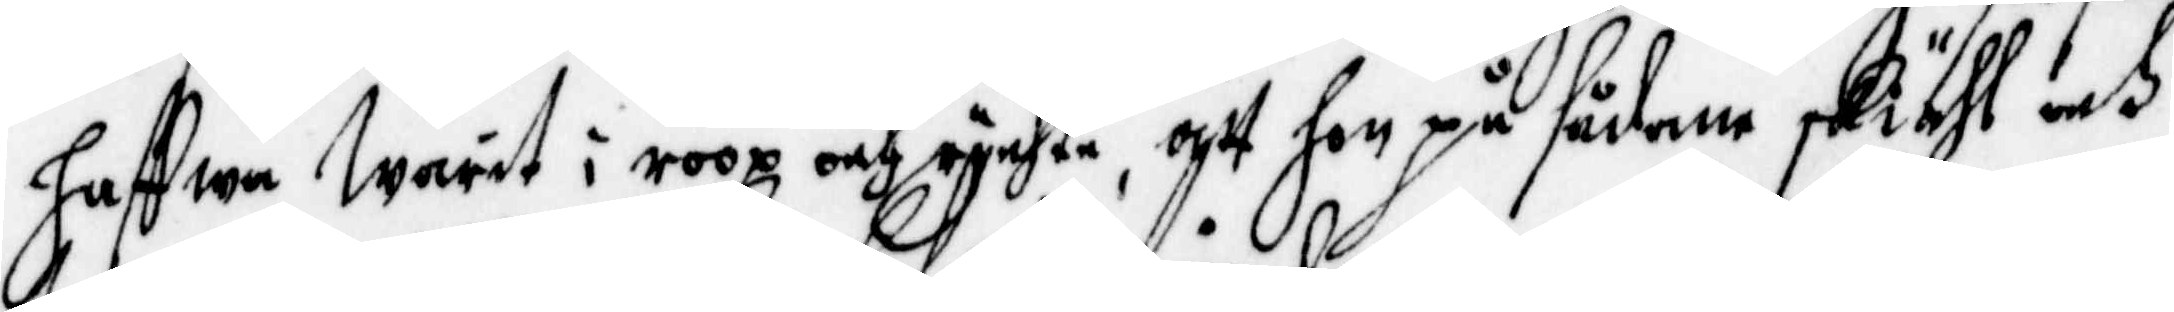hafwa warit i roop och rychte, att hon på sådane skiähl och
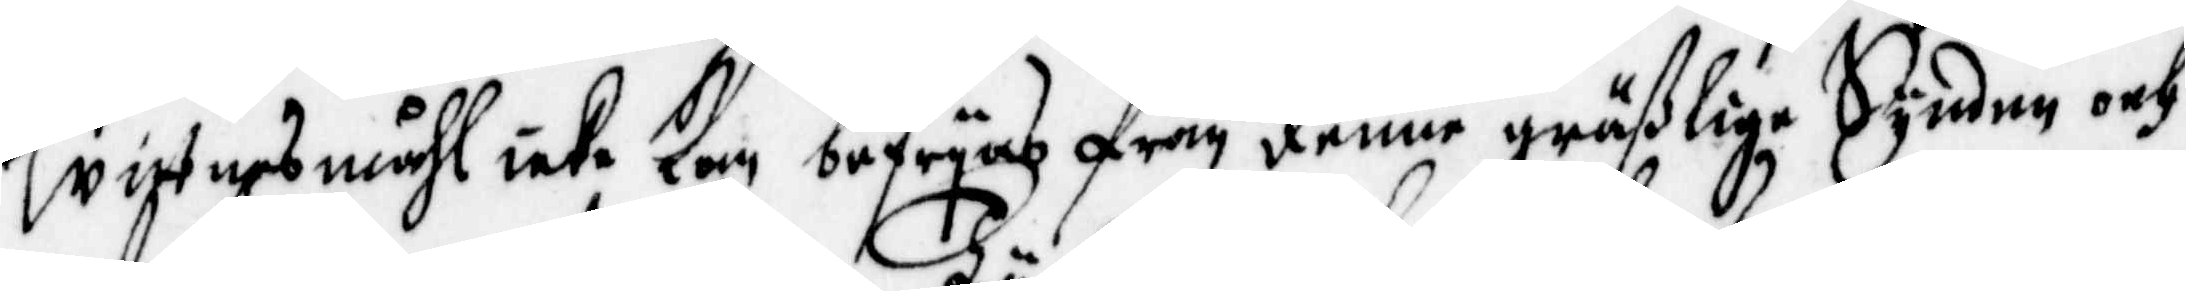wittnesmåhl icke kan befryas från denne gräßlige synden och
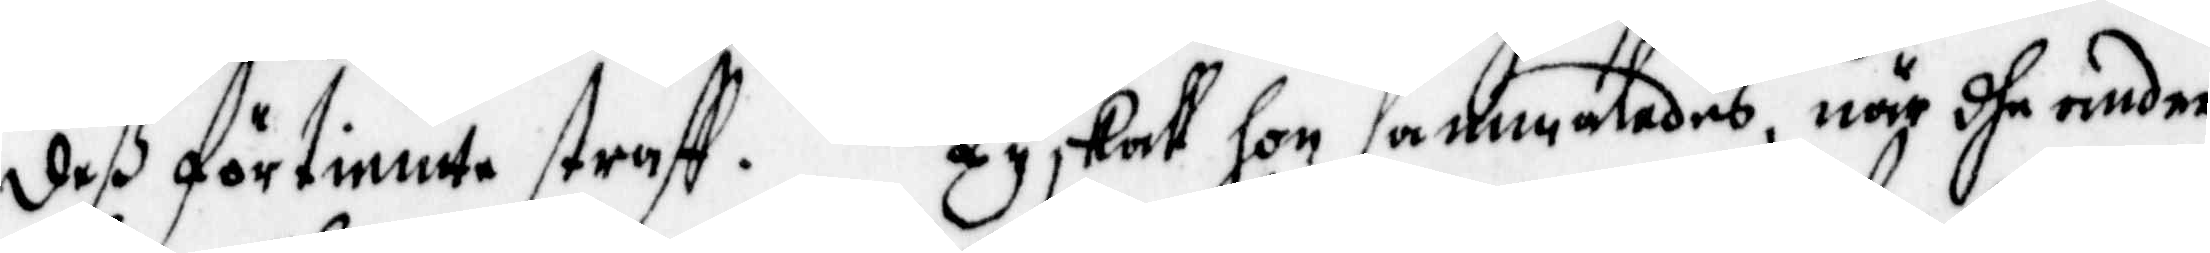deß förtiente straff. ty skall hon sammaledes, när dhe andre
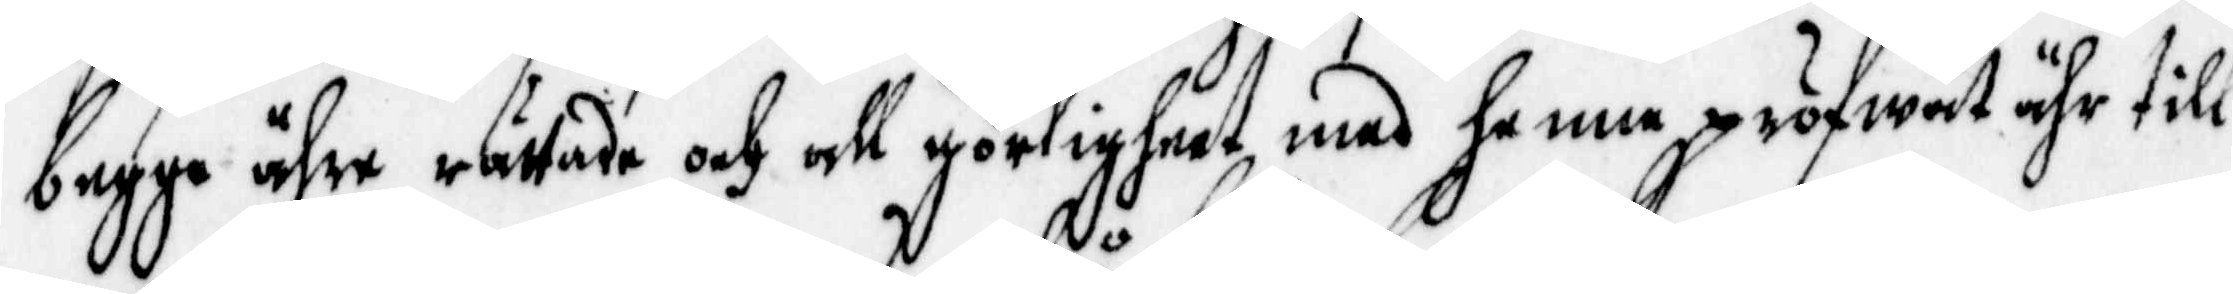begge ähre rättade och all görligheet med henne pröfwat ähr till
